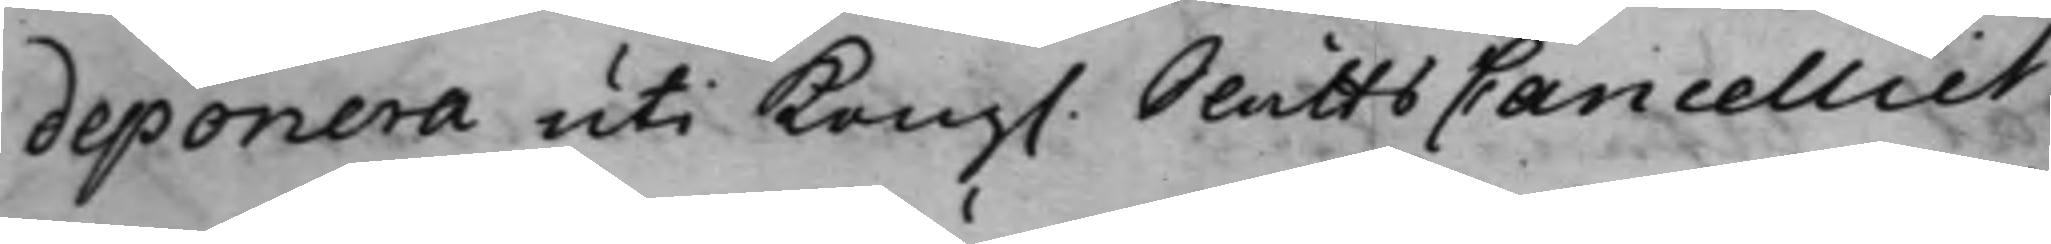deponera uti Kong. SlåttsCancelliet
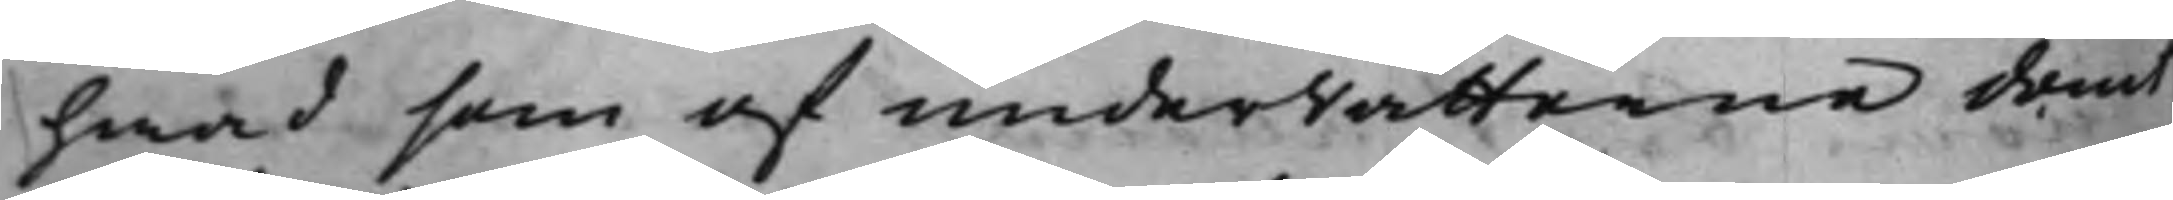hwad som af underrätterne dömt
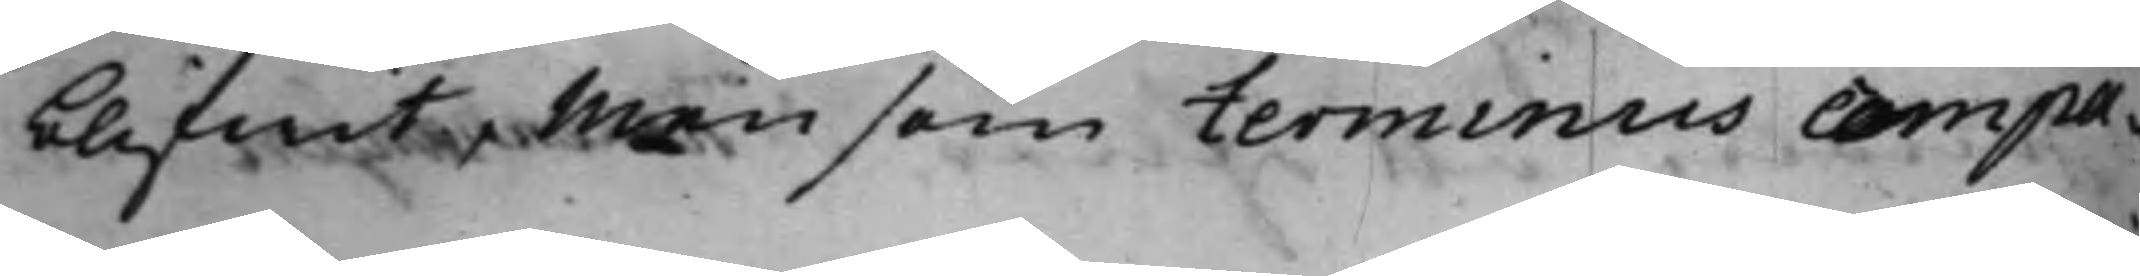blifwit, Men som terminus compa¬
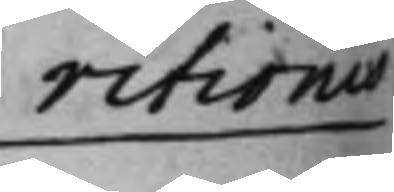ritionis
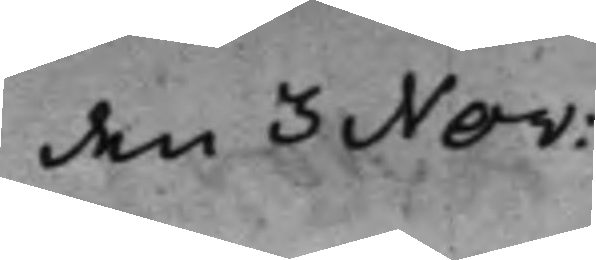den 3 Nov:
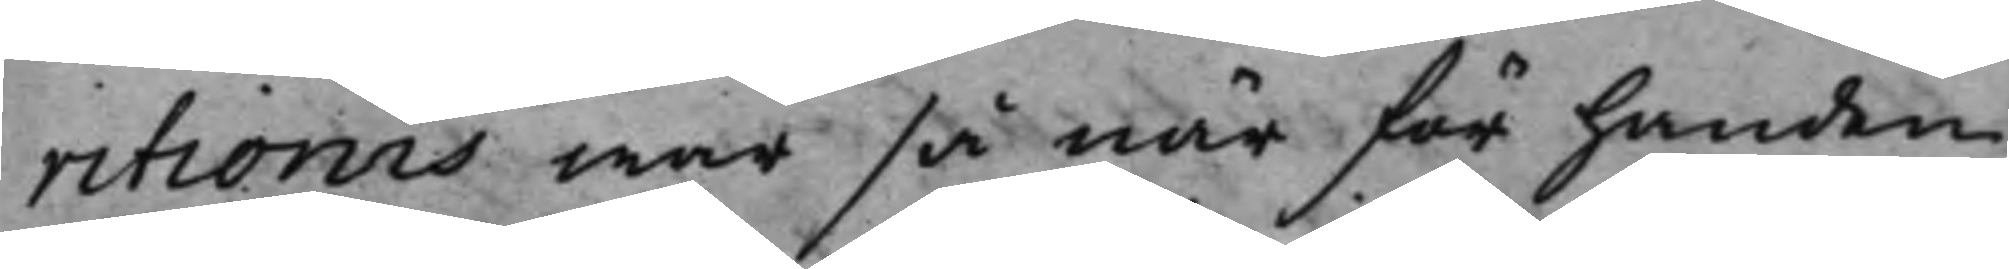ritionis war så när för handen,
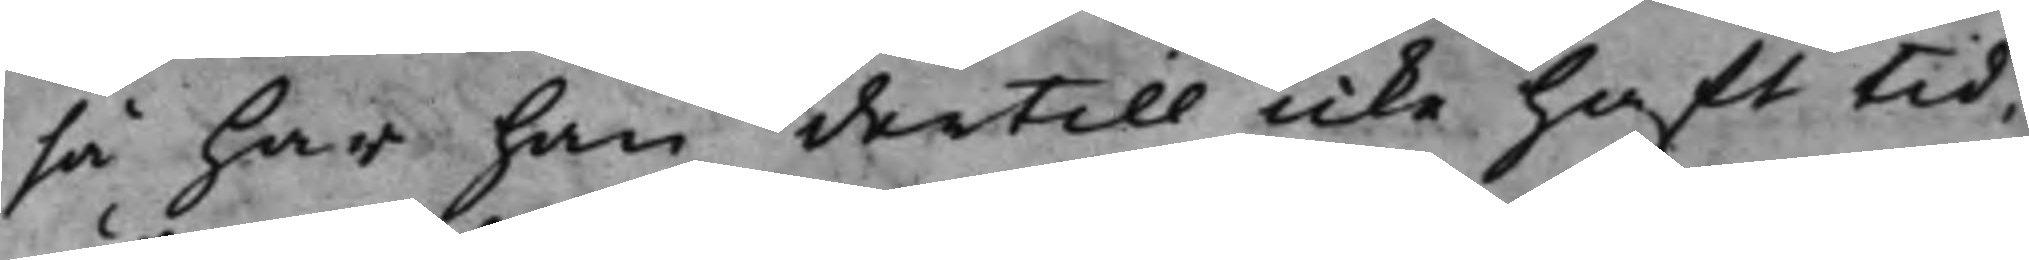så har han dertill icke hafft tid,
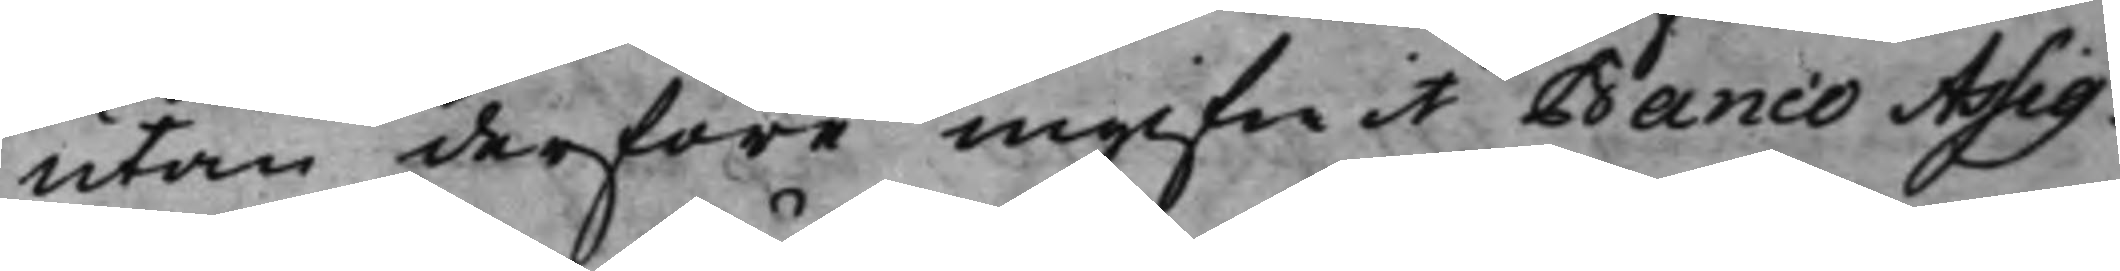utan derföre ingifwit Banco Assig¬
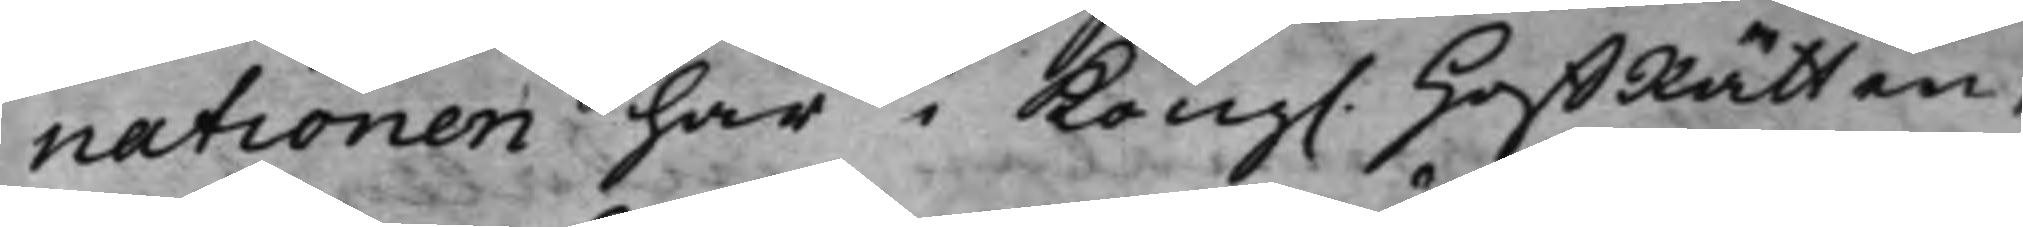nationen här i Kong. HoffRätten,
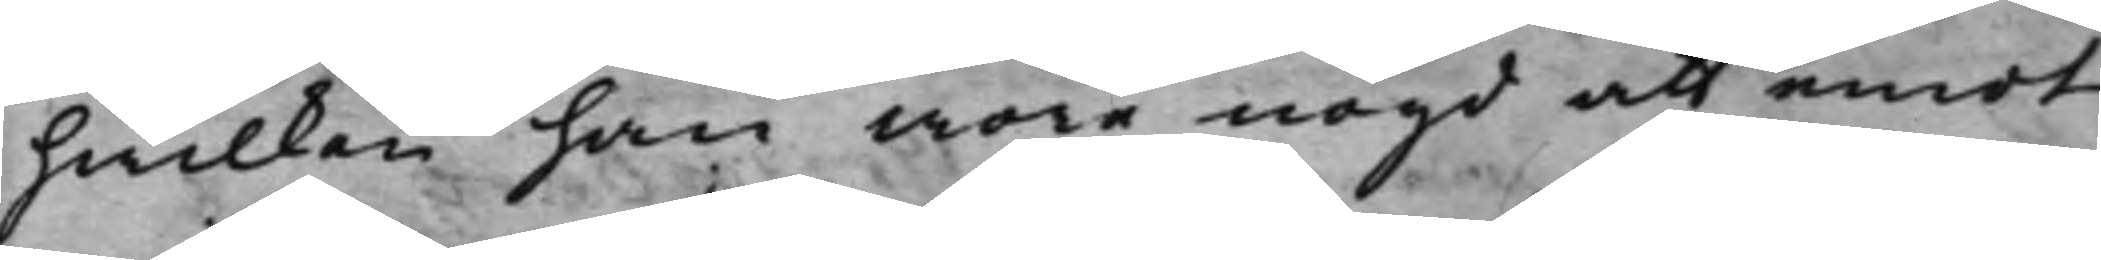hwilken han wore nögd att emot
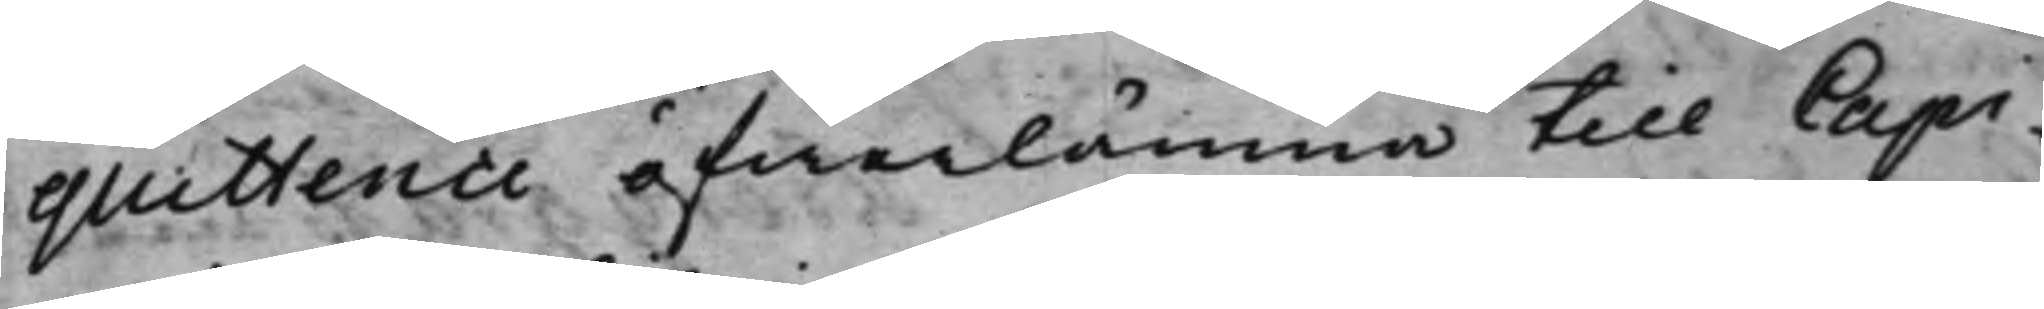quittence öfwerlämna till Capi¬
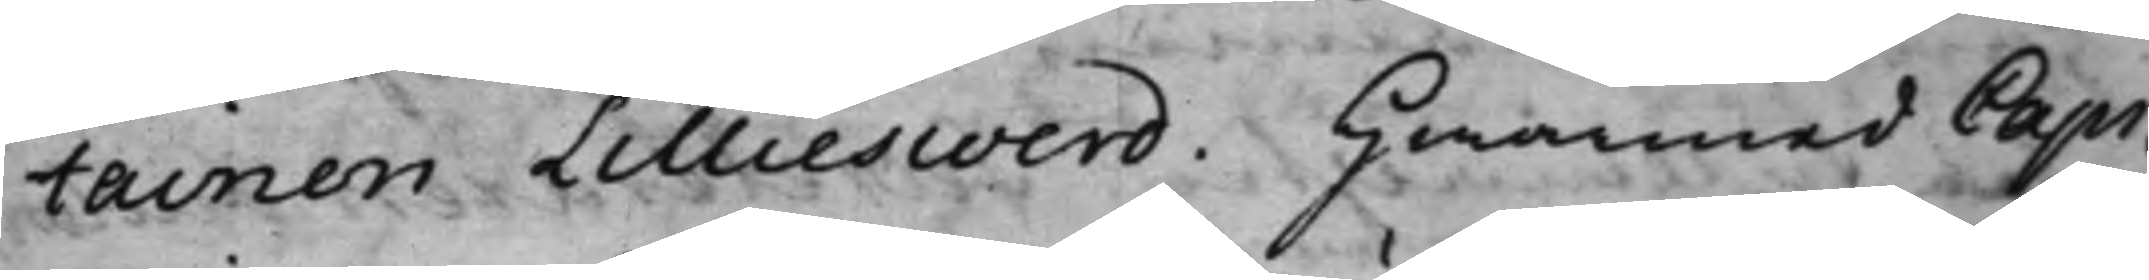tainen Lillieswerd. Hwarmed Capi¬
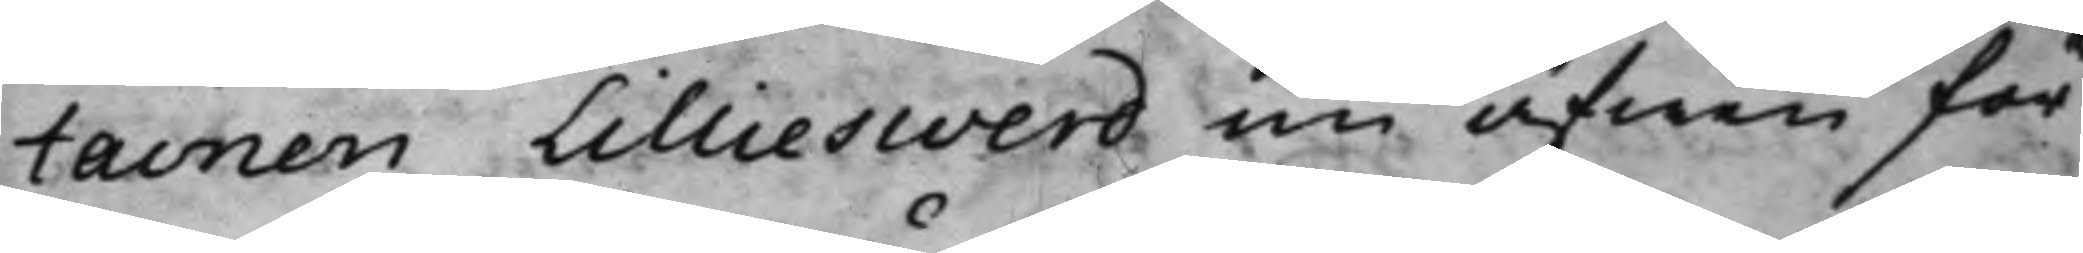tainen Lillieswerd nu äfwen för¬
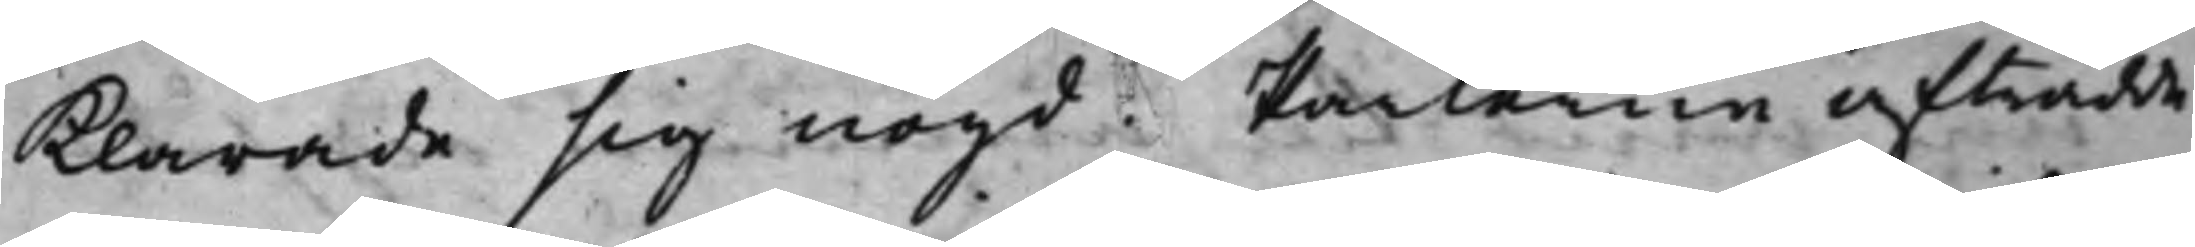klarade sig nögd. Parterne afträdde
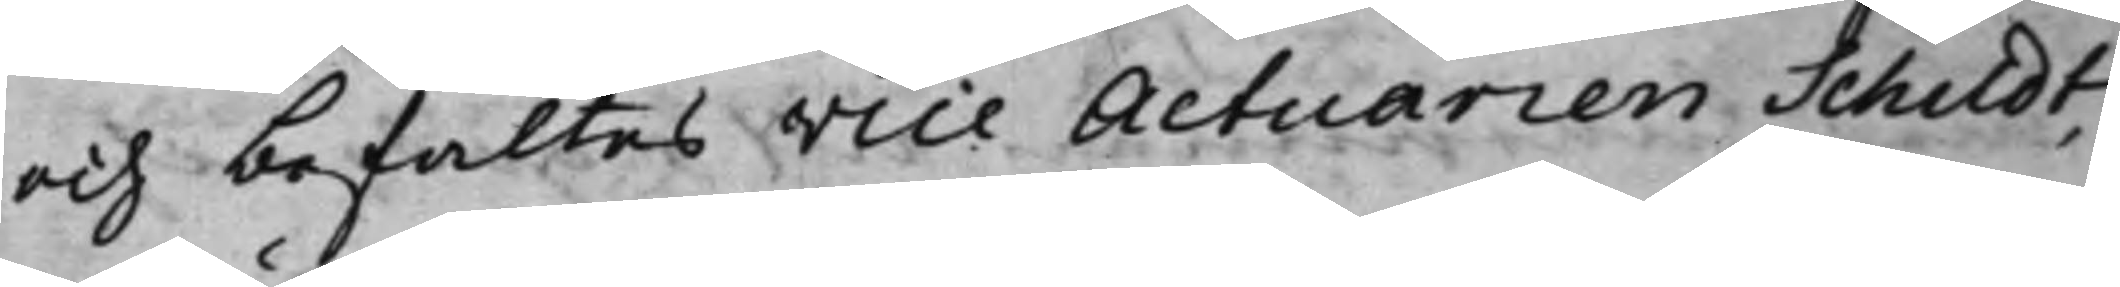och befaltes Vice Actuarien Schildt,
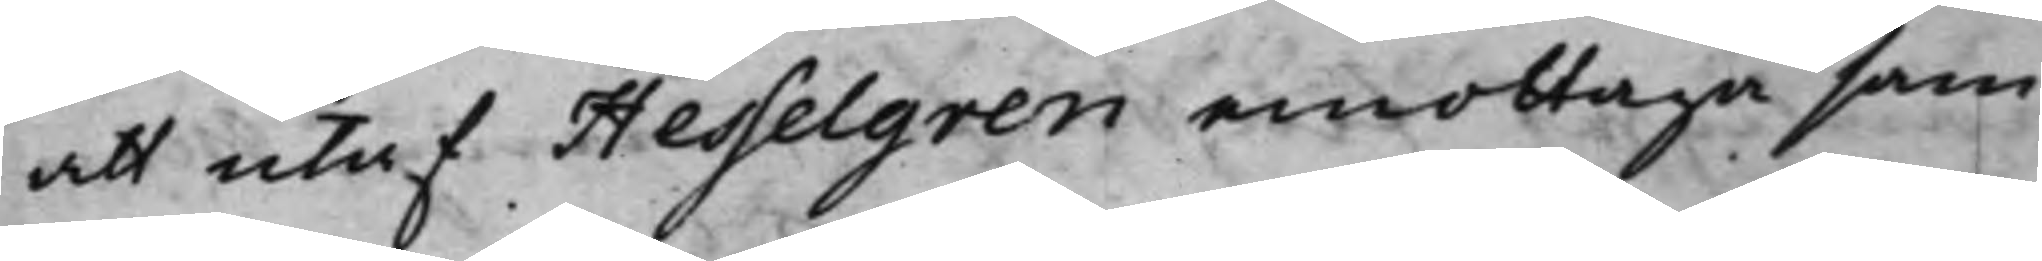att utaf Hesselgren emottaga sam¬
